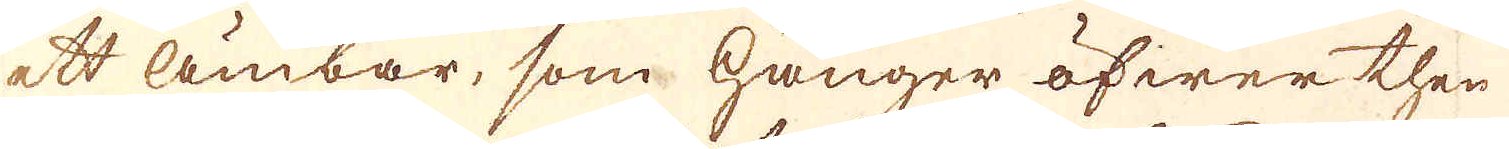ett ämbar, som hänger öfwer then
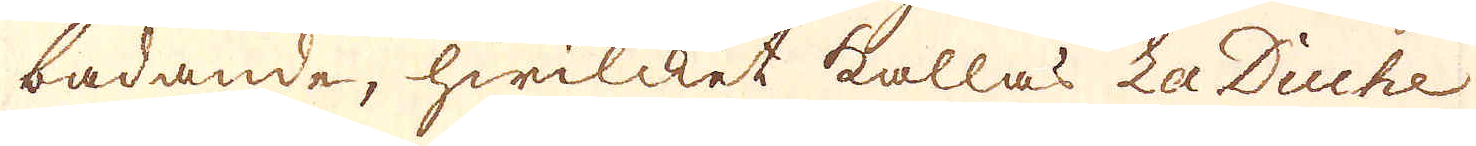badande, hwilcket kallas La Duche
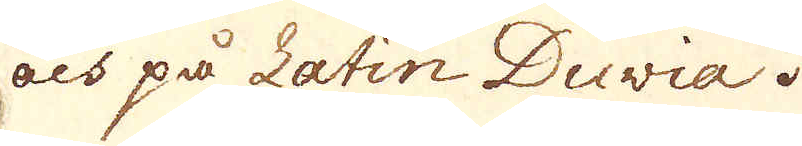och på Latin Duvia.
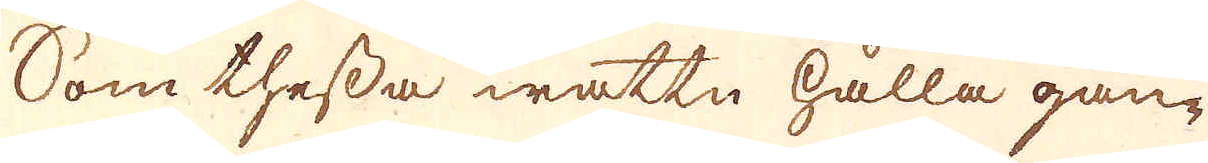Som thessa wattn hålla gan-
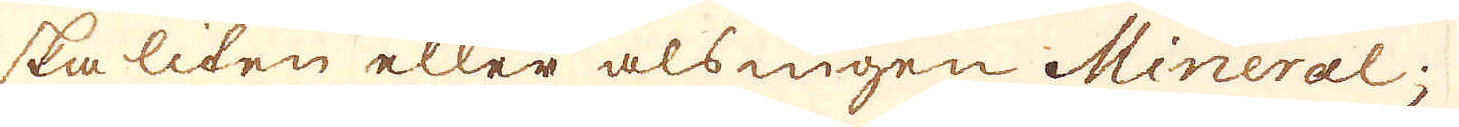ska liten eller alsingen Mineral;
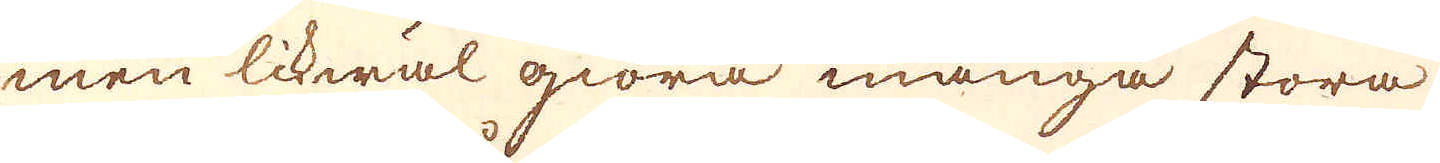men likwäl giöra många stora
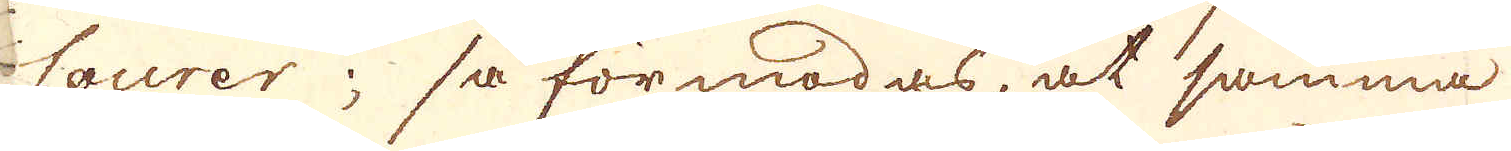Courer; så förmodas, at samma
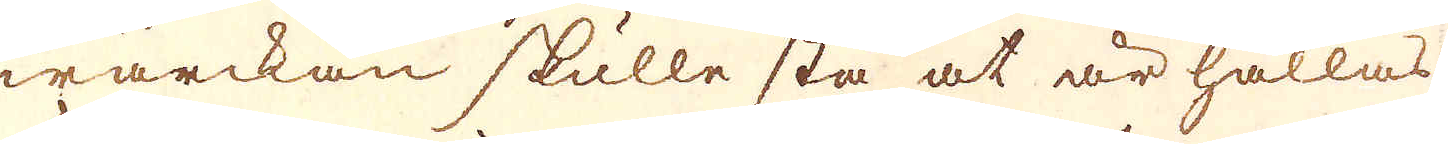wärckan skulle stå at är hållas
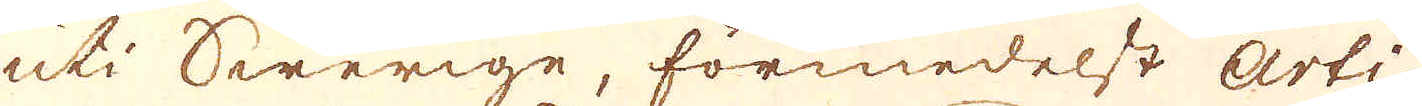uti Swerige, förmedelst Arti-
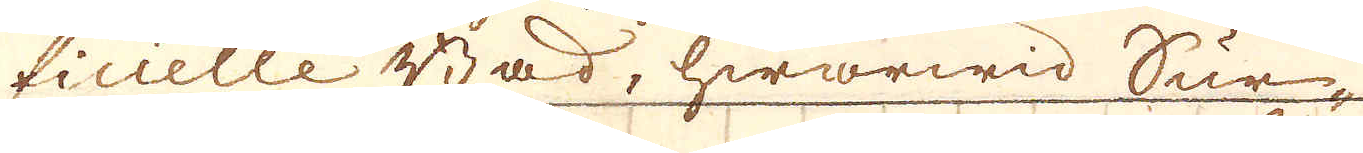ficielle Bad, hwarwid Sur-
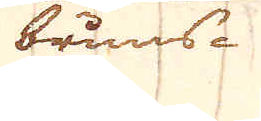bruns-
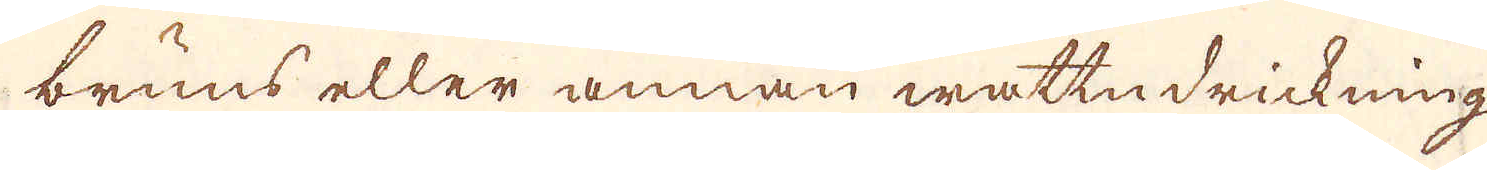bruns eller annan wattn drickning
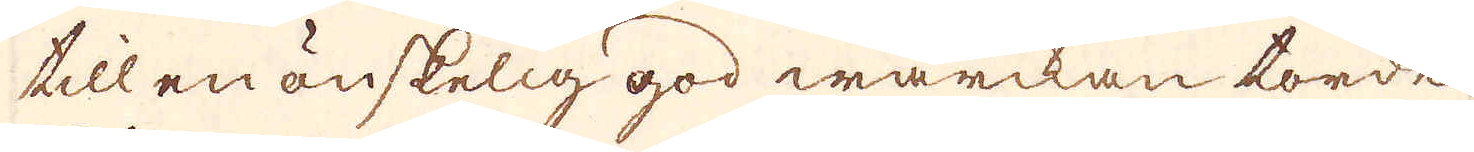till en önskelig god wärckan torde
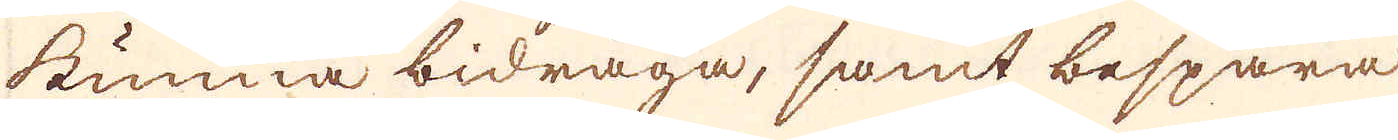kunna bidraga, samt bespara
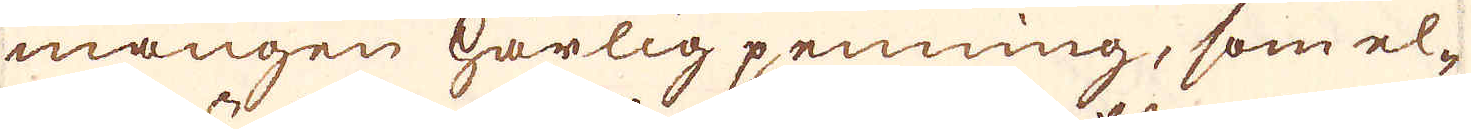mången härlig penning, som el-
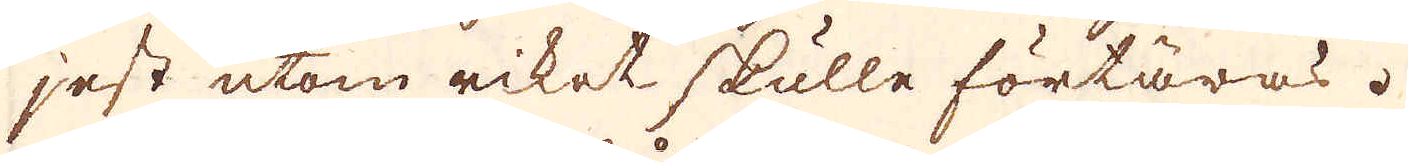jest utom riket skulle förtäras.
